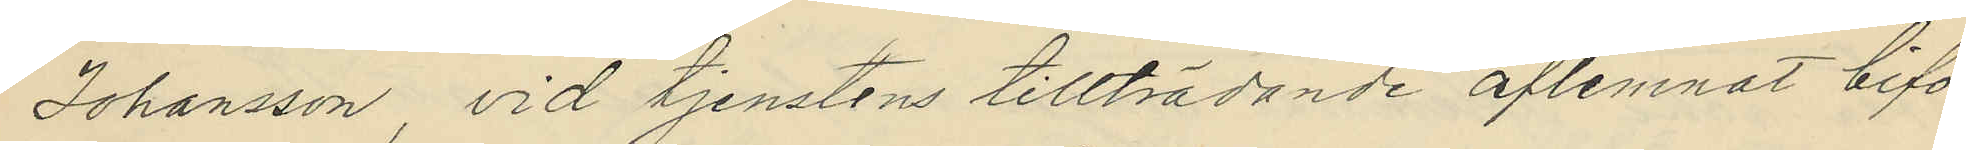Johansson, vid tjenstens tillträdande aflemnat bifo¬
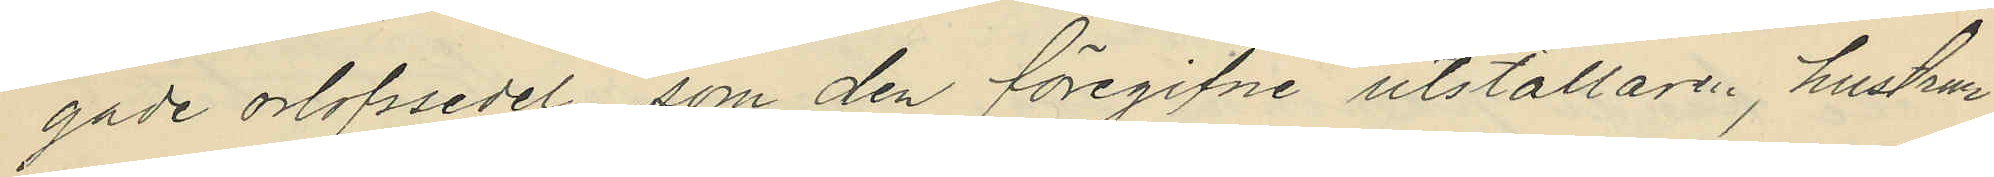gade orlofssedel, som den föregifne utställare, hustrun
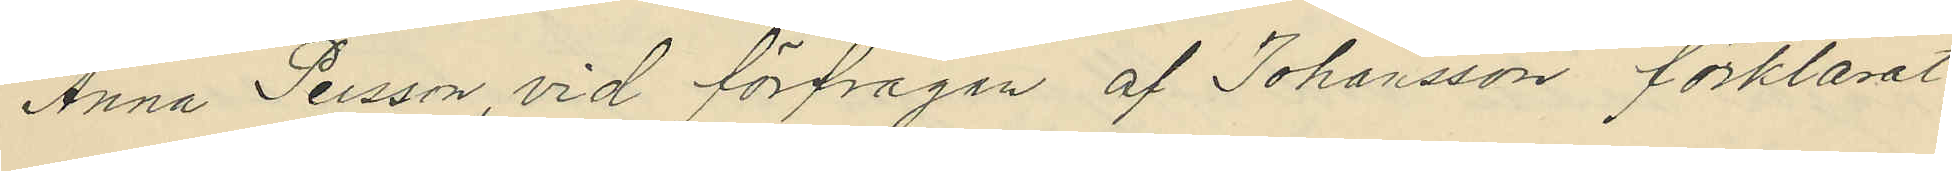Anna Persson, vid förfrågan af Johansson förklarat
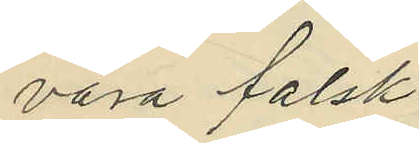vara falsk.
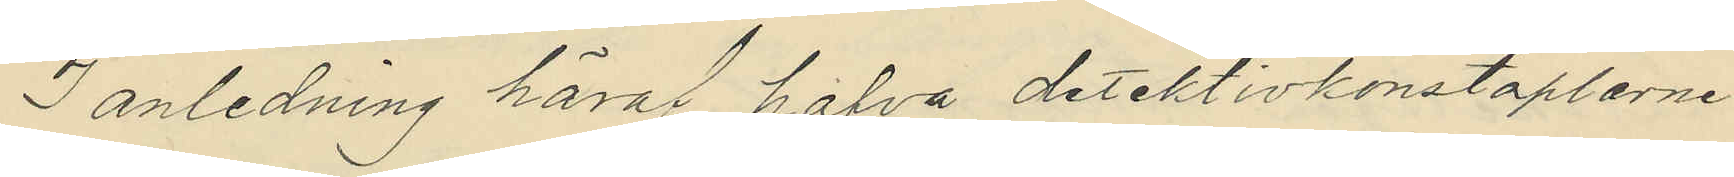I anledning häraf hafva detektivkonstaplarne
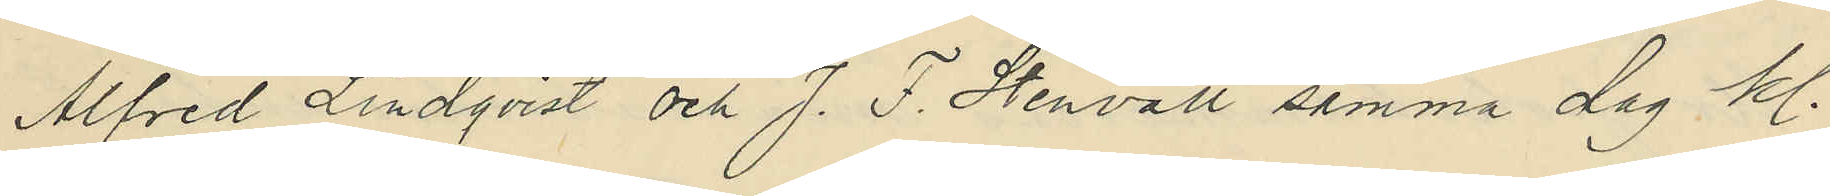Alfred Lindqvist och J. F. Stenvall samma dag kl.
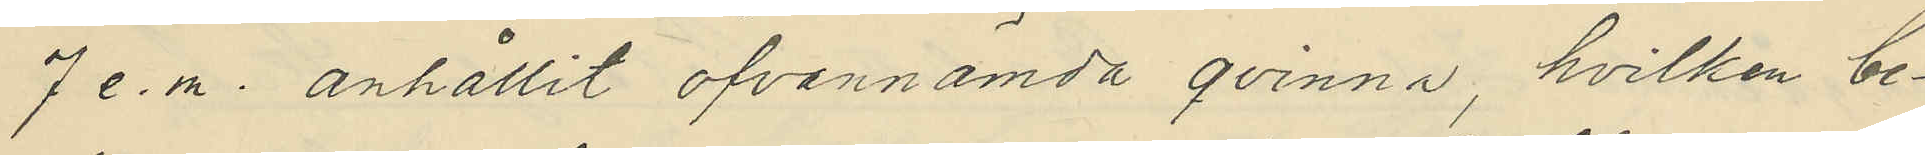7 e.m. anhållit ofvannämda qvinna, hvilken be¬
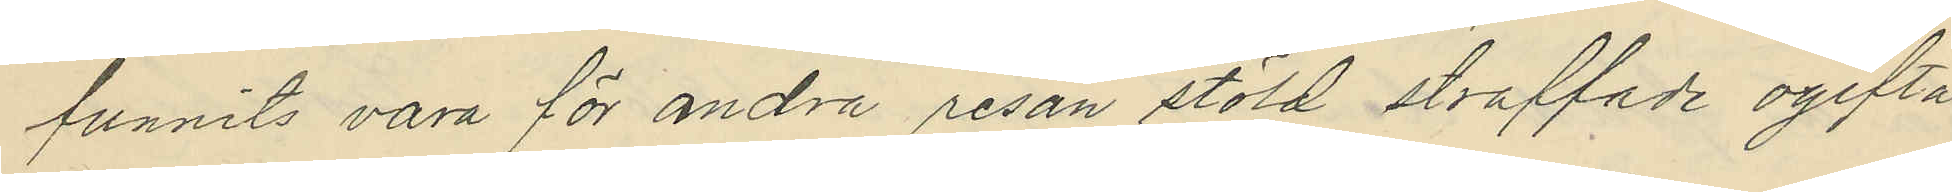funnits vara för andra resan stöld straffade ogifta
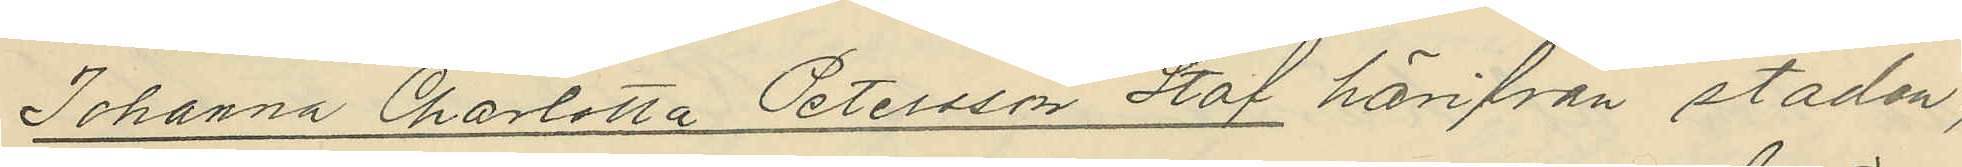Johanna Charlotta Petersson Staf härifrån staden,
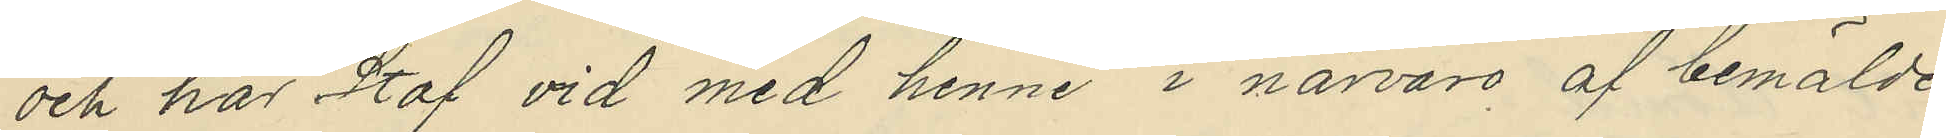och har Staf vid med henne i närvaro af bemälde
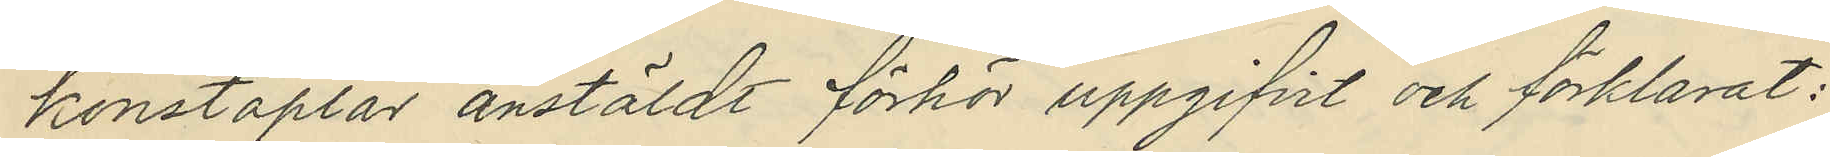konstaplar anstäldt förhör uppgifvit och förklarat:
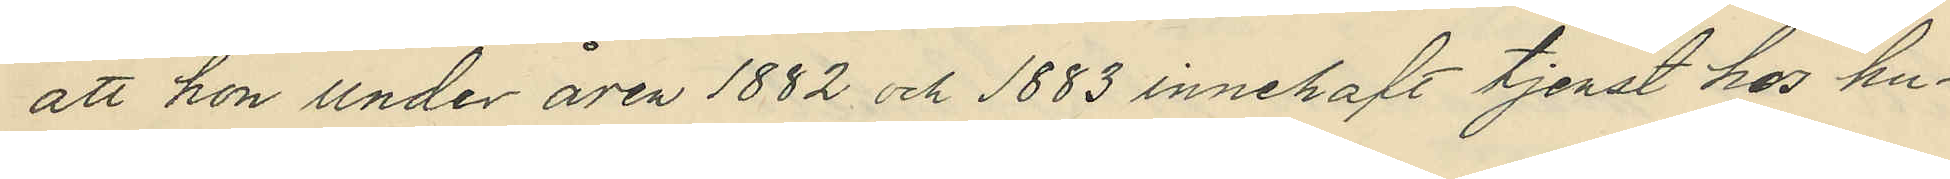att hon under åren 1882 och 1883 innehaft tjenst hos hu¬
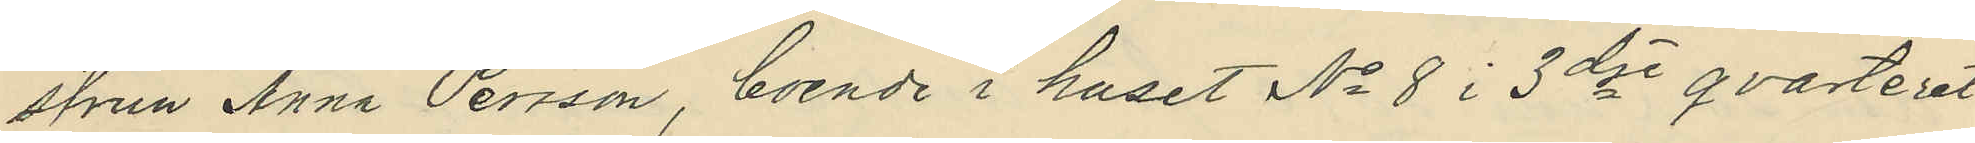strun Anna Persson, boende i huset No 8 i 3dje qvarteret
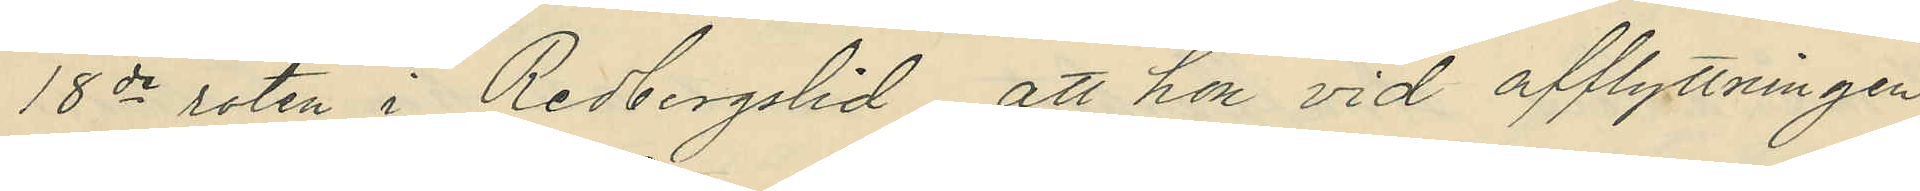18de roten i Redbergslid, att hon vid afflyttningen
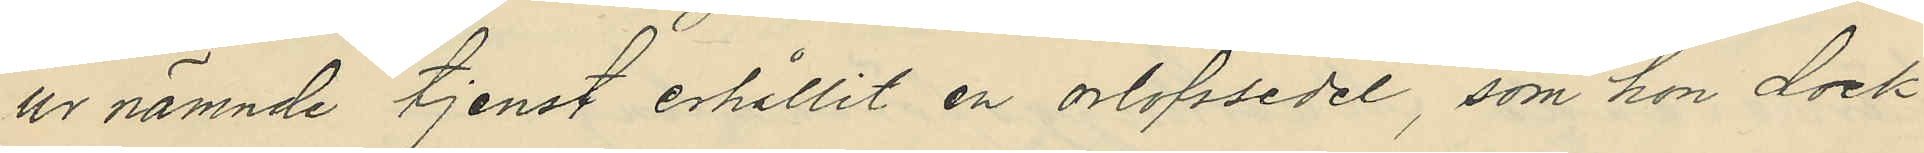ur nämnde tjenst erhållit en orlofssedel, som hon dock
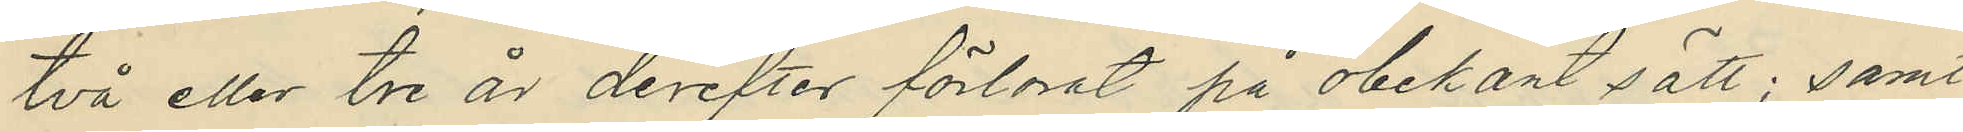två eller tre är derefter förlorat på obekant sätt; samt
